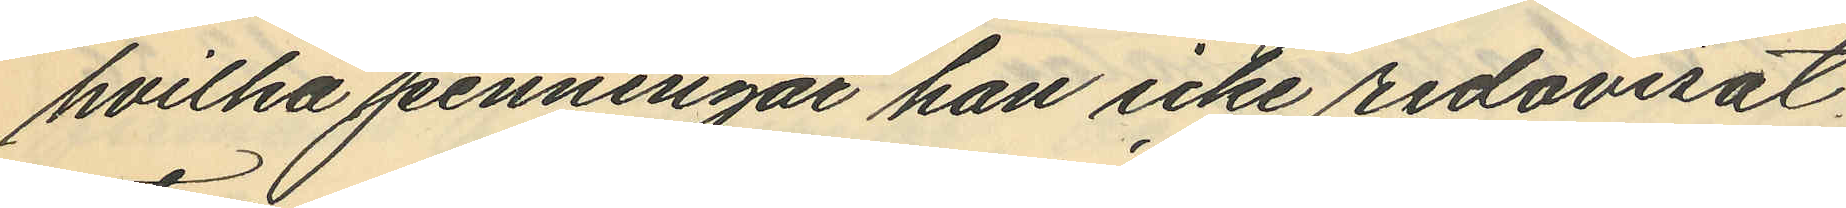hvilka penningar han icke redovisat
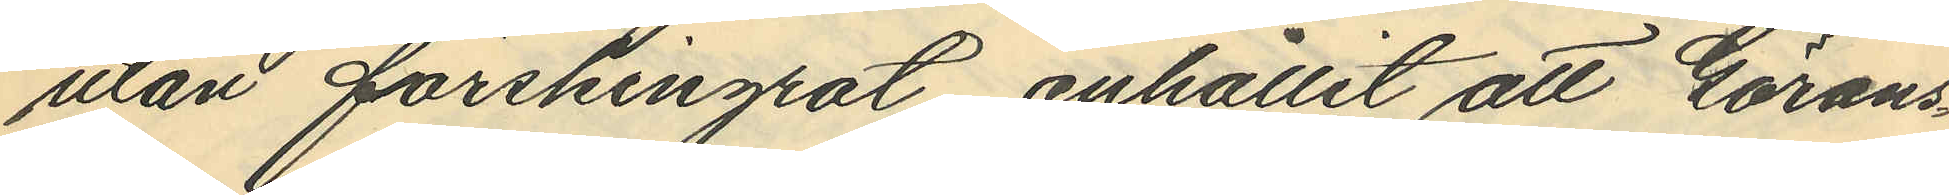utan förskingrat, anhållit att Görans¬
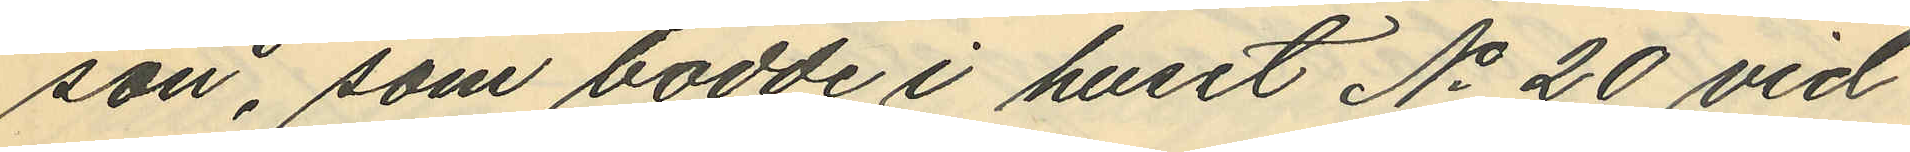son, som bodde i huset No 20 vid
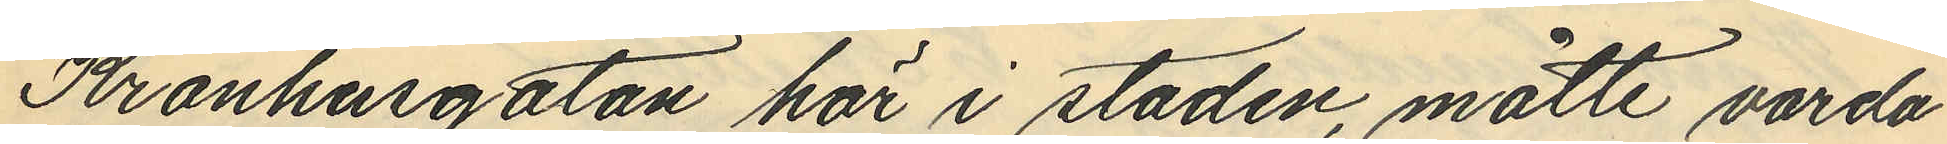Kronhusgatan här i staden, måtte varda
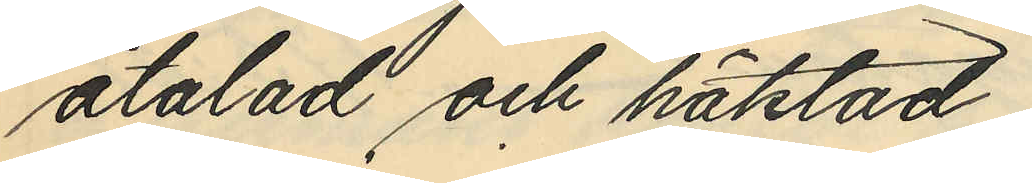åtalad och häktad.
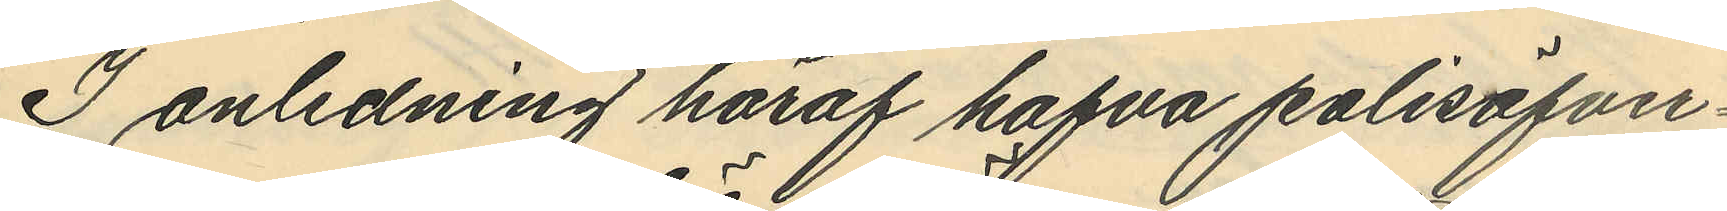I anledning häraf hafva polisöfver¬
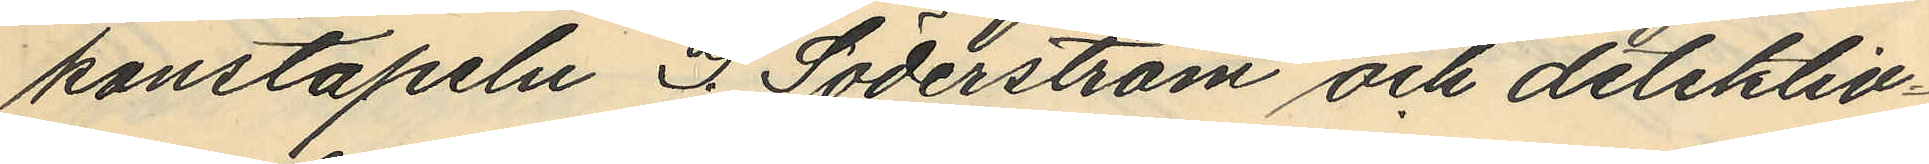konstapeln S. Söderström och detektiv¬
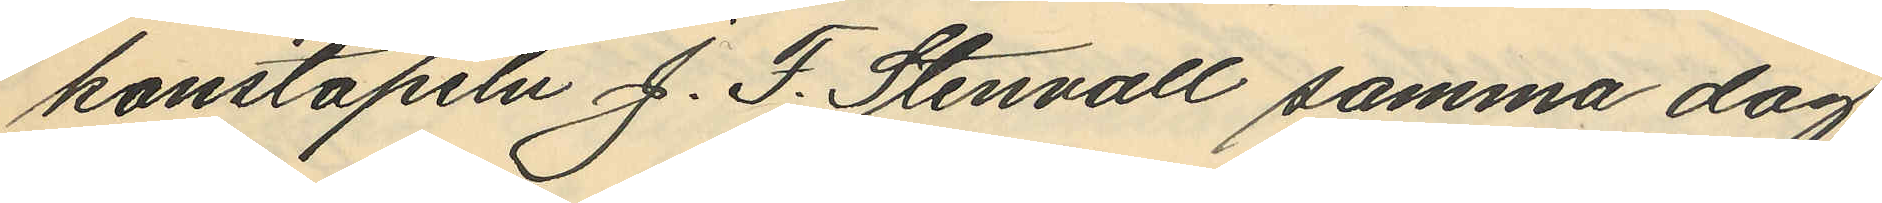konstapeln J. F. Stenvall samma dag
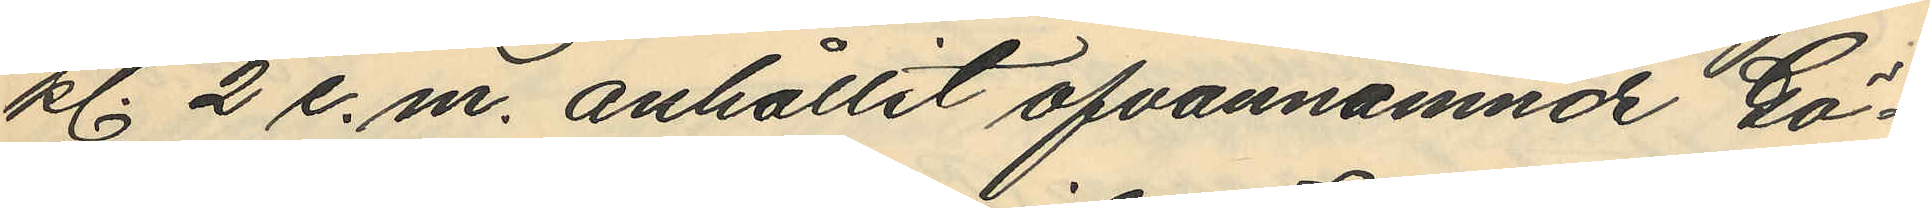kl. 2 e.m. anhållit ofvannämnde Gö¬
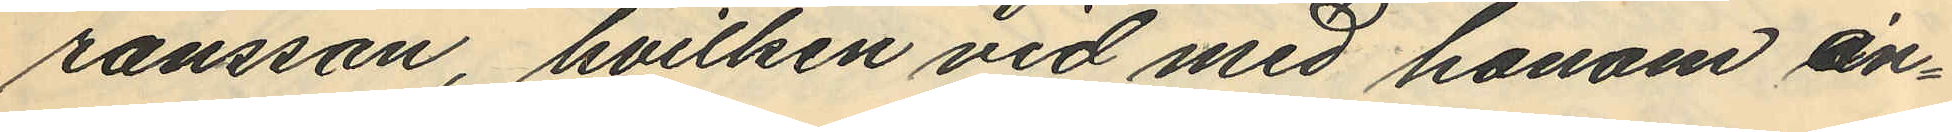ransson, hvilken vid med honom an¬
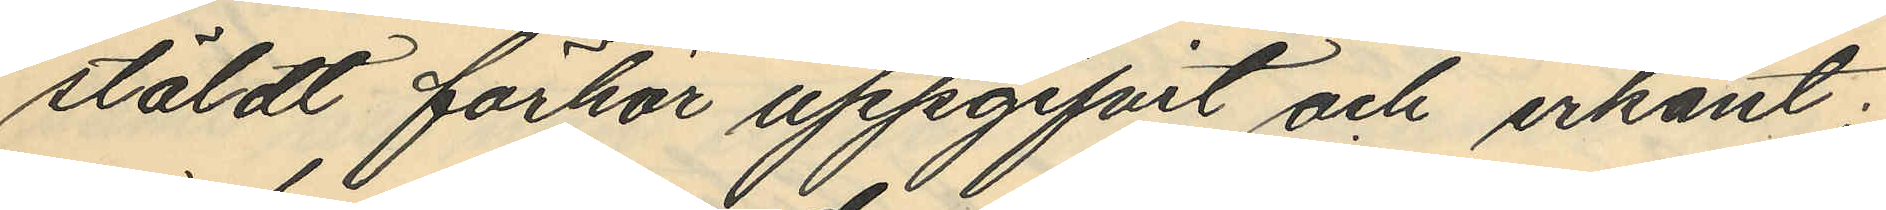stäldt förhör uppgifvit och erkänt;
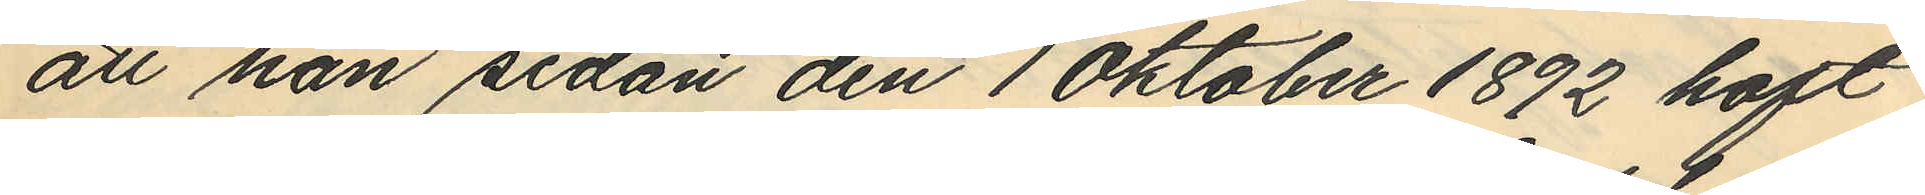att han sedan den 1 Oktober 1892 haft
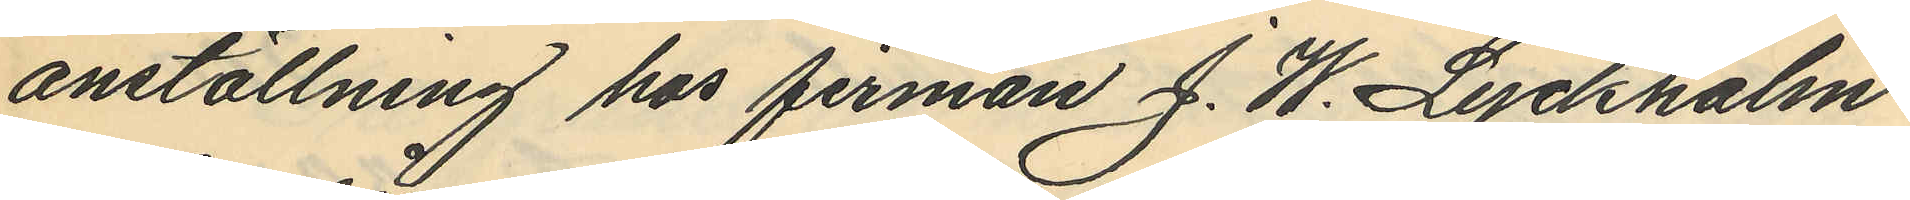anställning hos firman J. W. Lyckholm
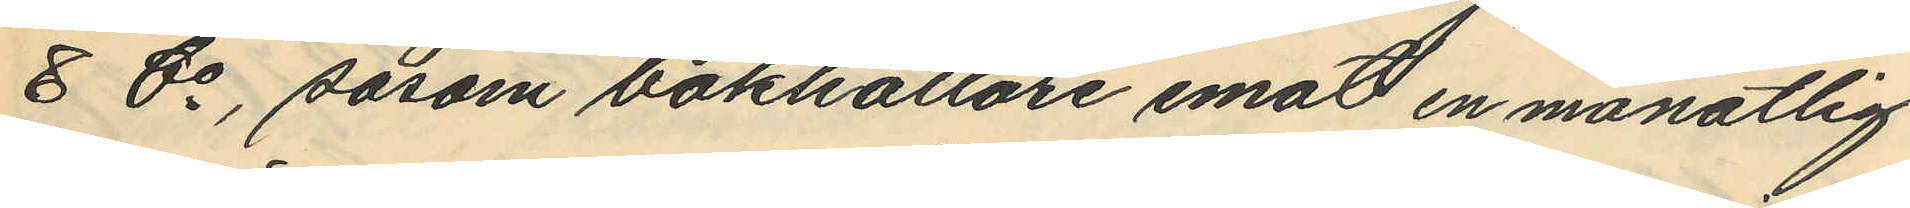& Co, såsom bokhållare emot en månatlig
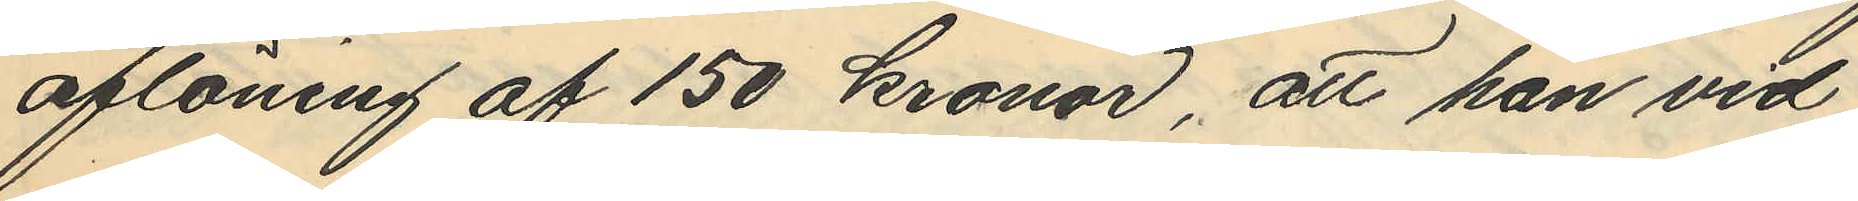aflöning af 150 kronor, att han vid
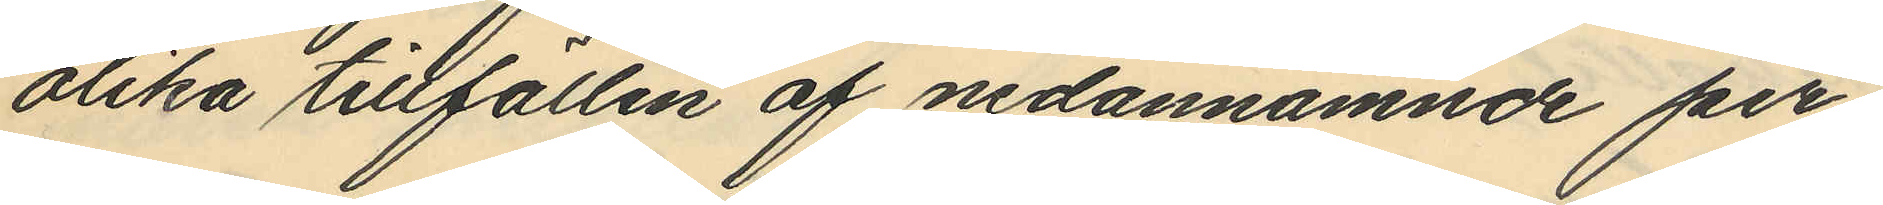olika tillfällen af nedannämnde per¬
